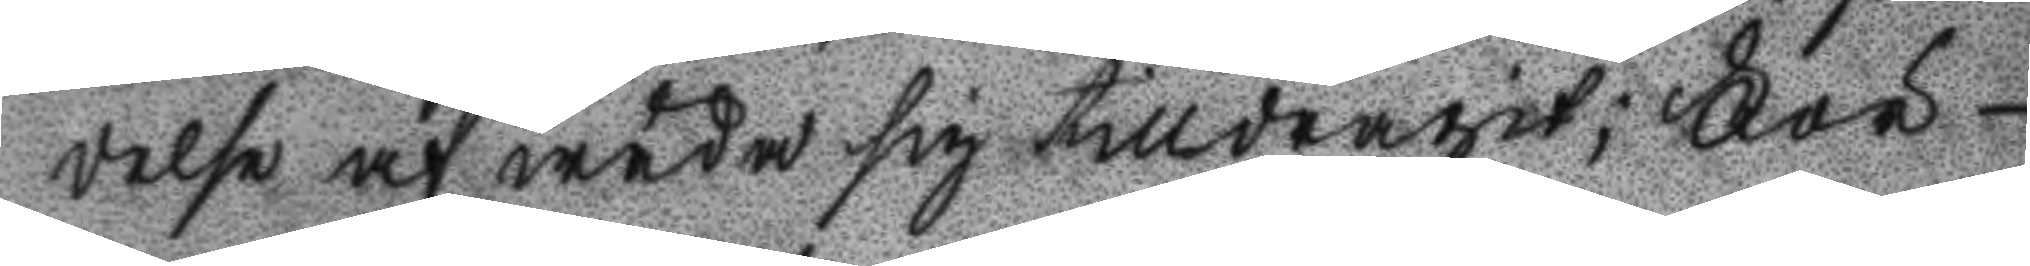delse af wåda sig tilldragit; För¬
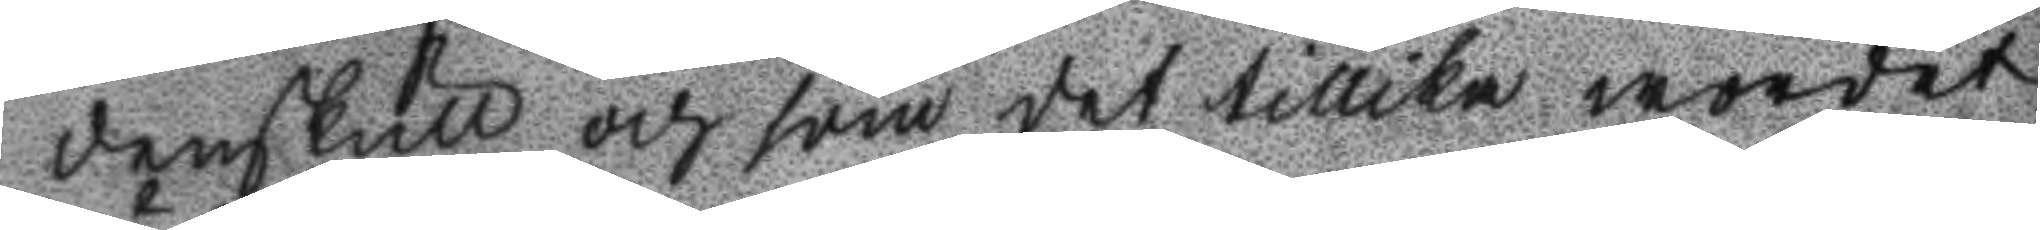denskull och som det tillika wordet
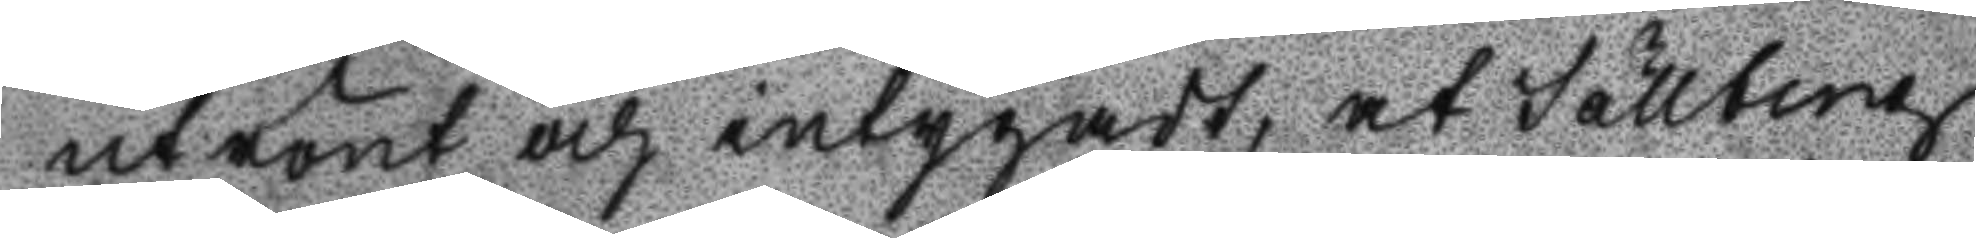utrönt och intygadt, at Sällberg
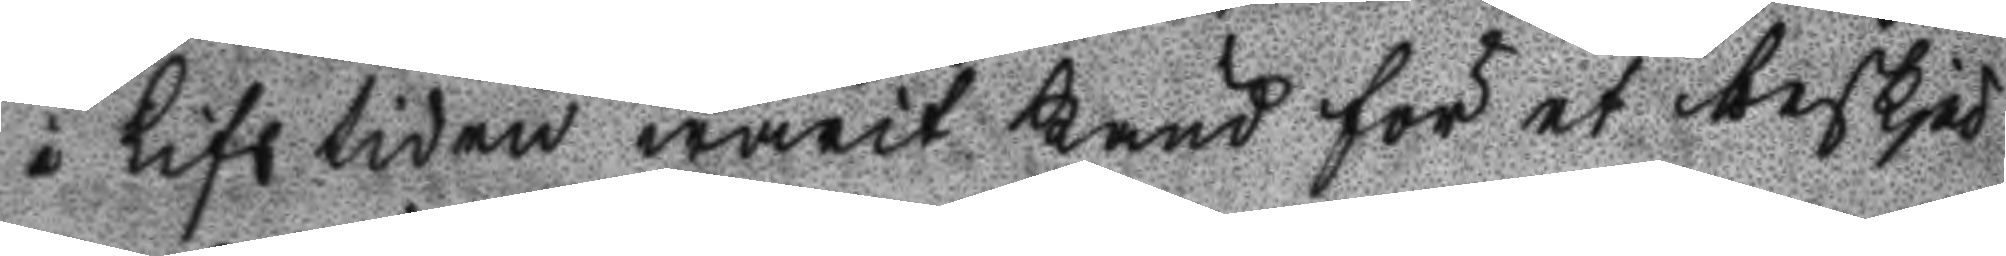i Lifstiden warit känd för et beskje
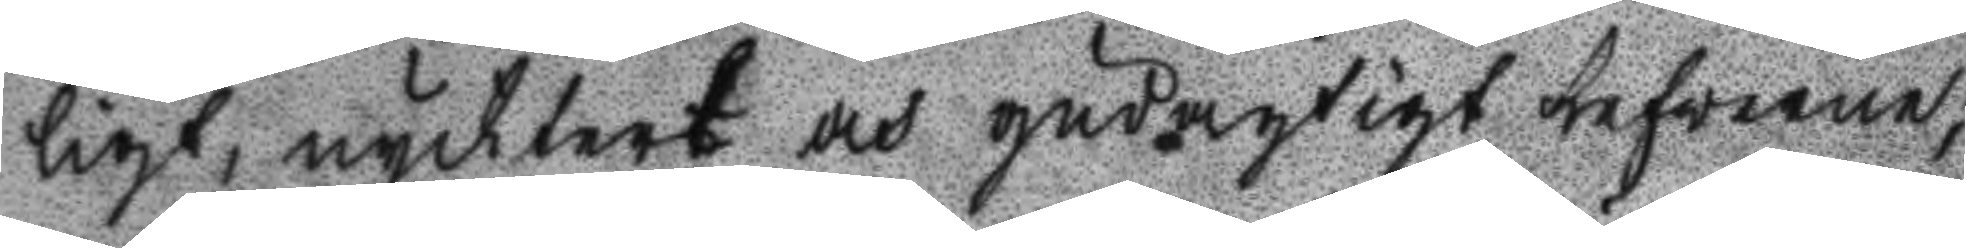ligt, nycktert och gudagtigt lefwerne;
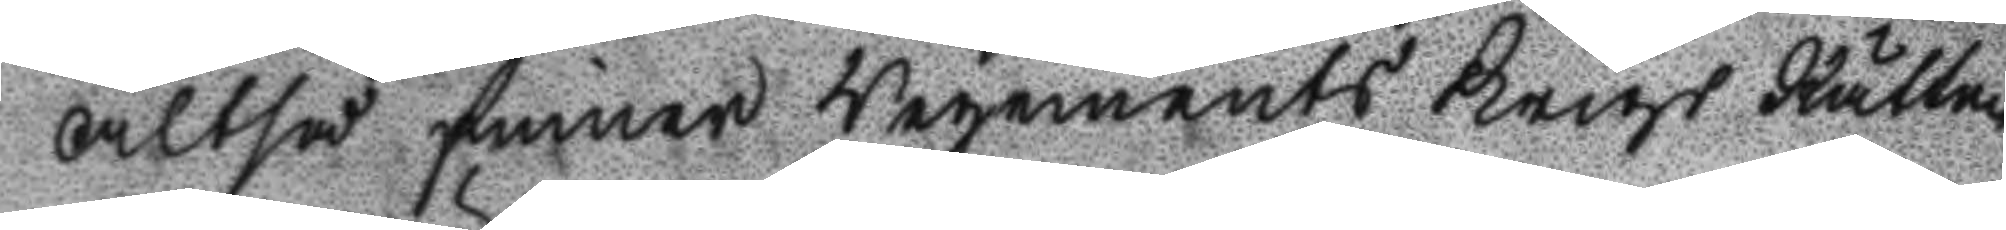Altså finner Regements Krigs Rätten
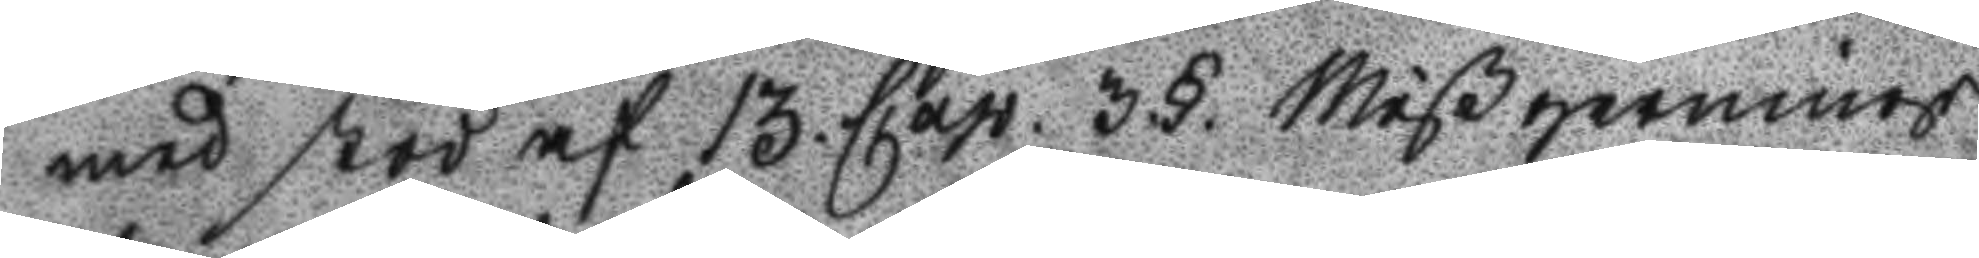med stöd af 13. Cap. 3.§. Mißgernings
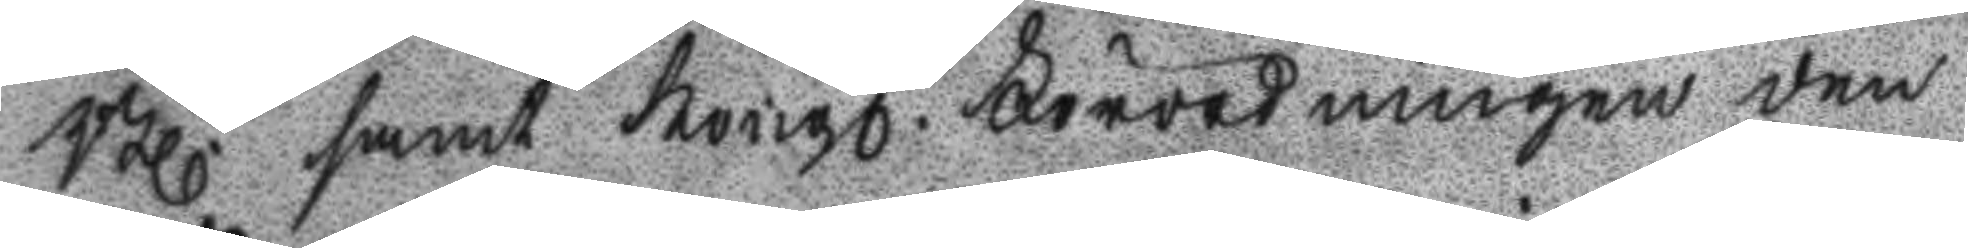Bl. samt Krigs. Förordningen den
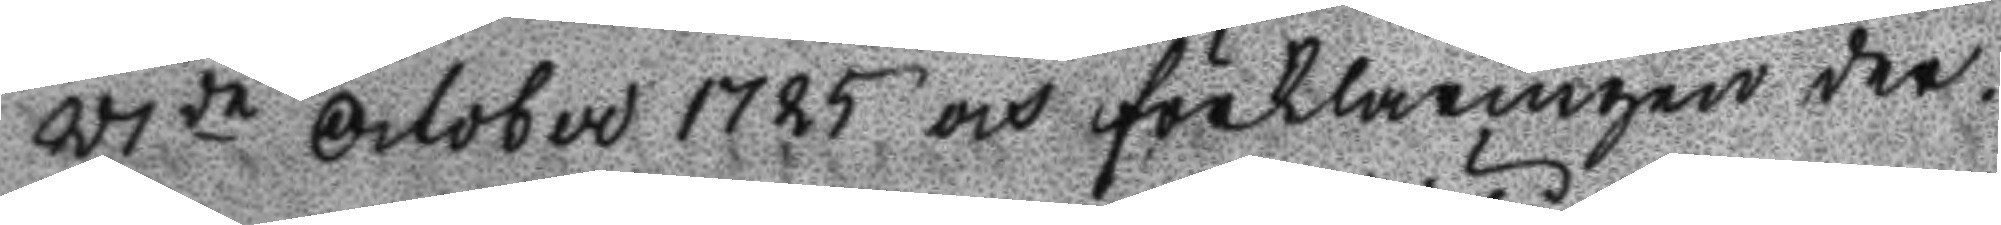27de October 1725 och förklaringen der¬
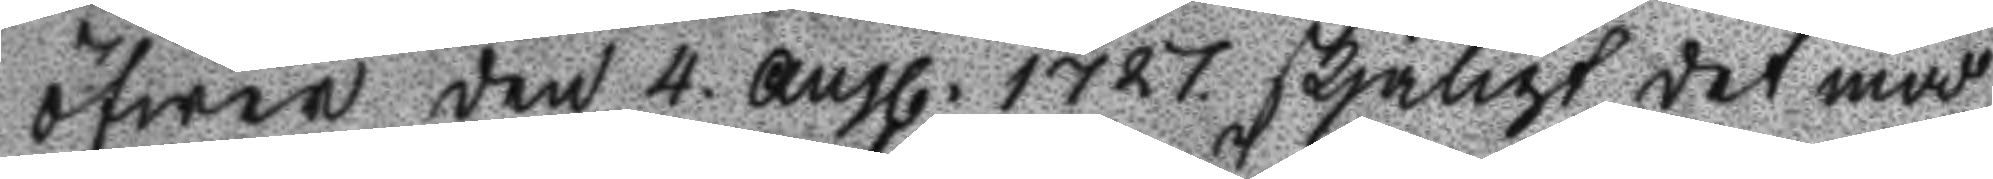öfwer den 4. augl. 1727. skjäligr det med
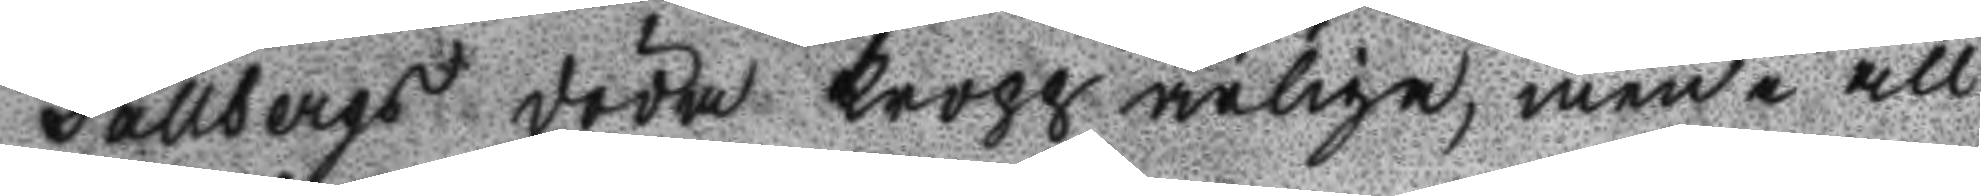Sällbergs döda Kropp ärlige, men i all
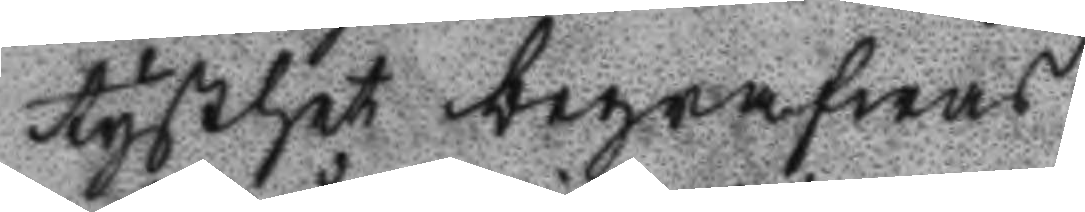tysthet begrafwas.
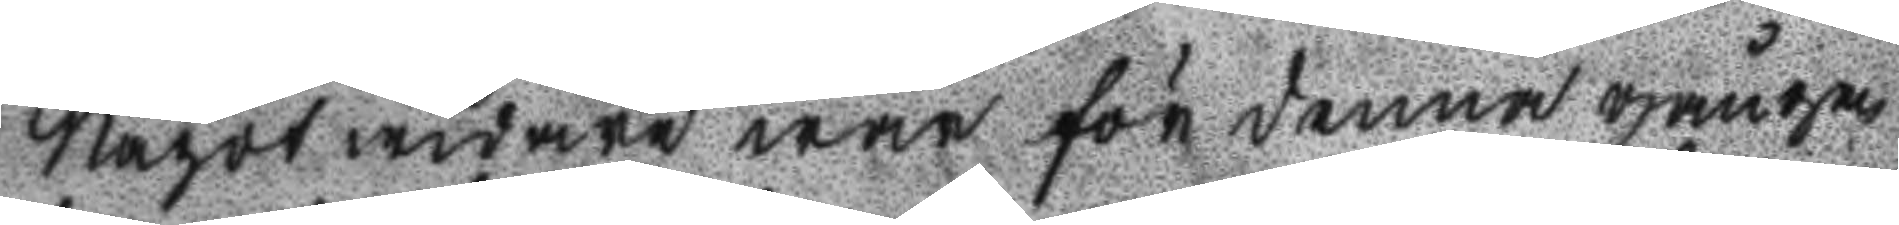Något widare war för denna gången
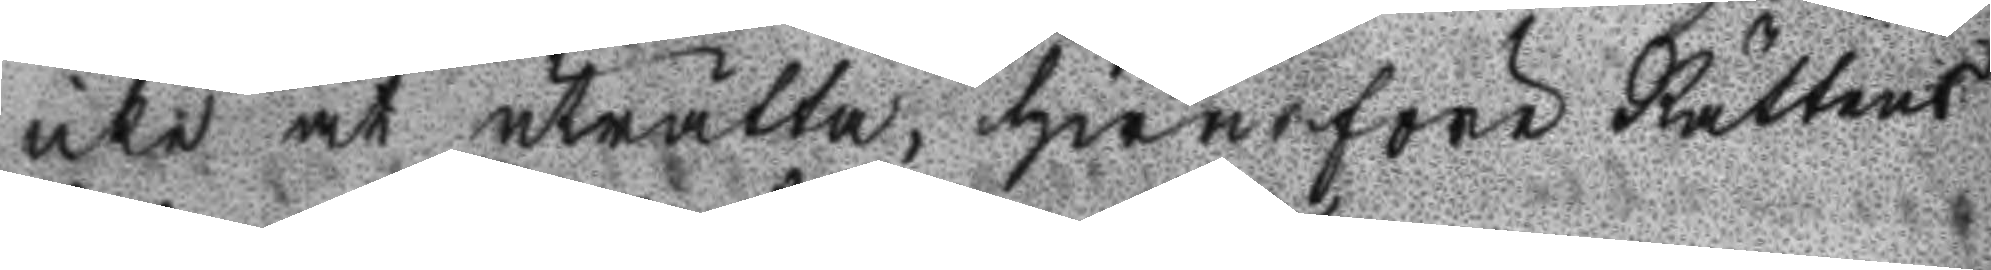icke at uträtta, hwarföre Rättens
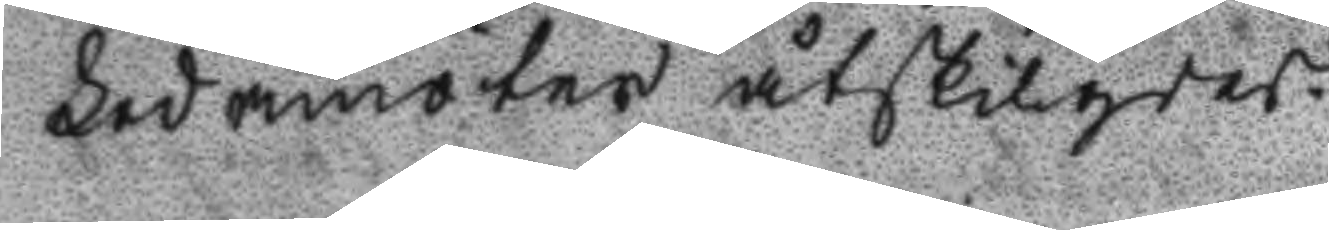Ledamöter åtskilgdes.
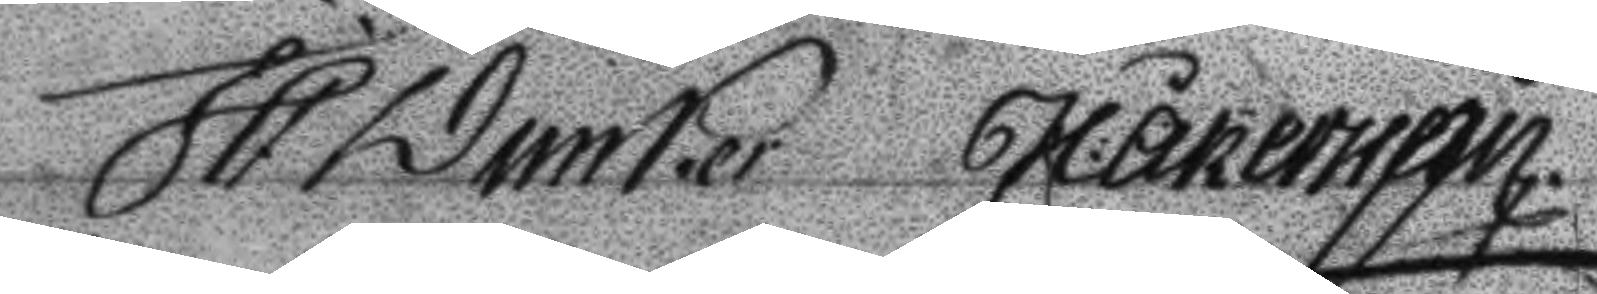J P Dunker H: Åkerman
